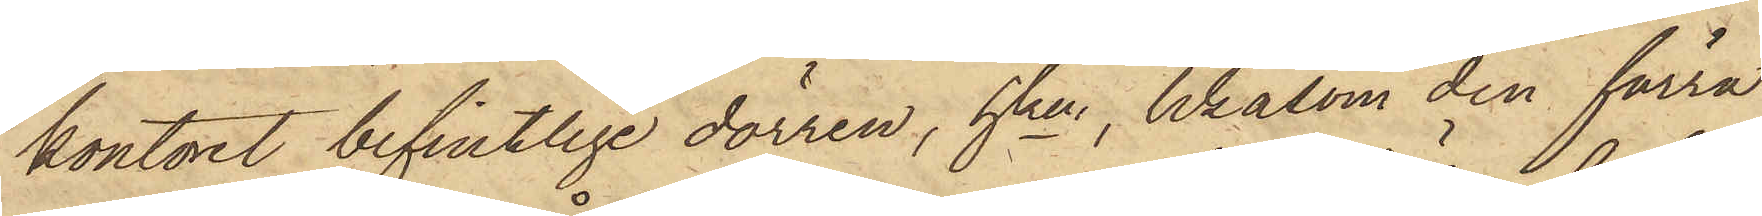kontoret befintlige dörren, hken, likasom den förra
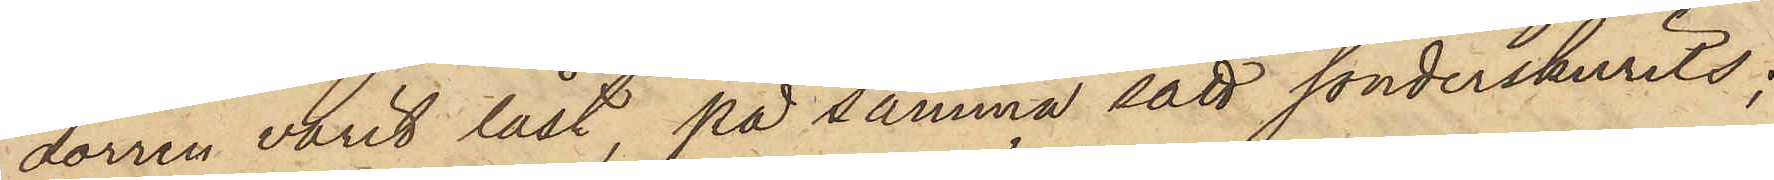dörren varit låst, på samma sätt sönderskurits;
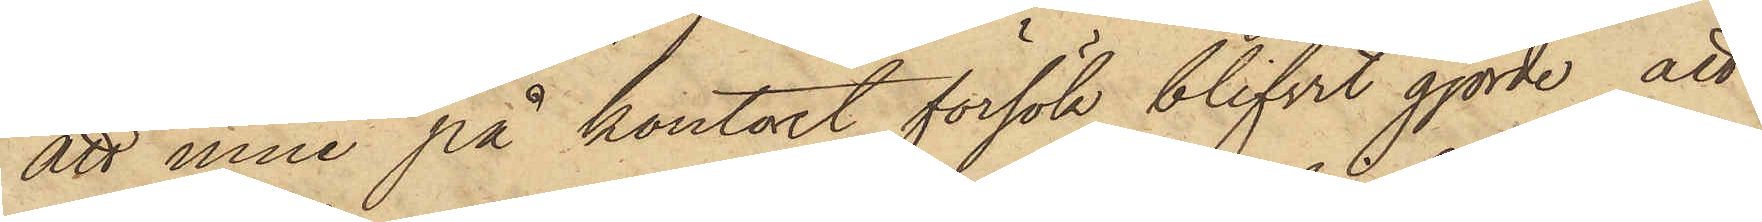att inne på kontoret försök blifvit gjorde att
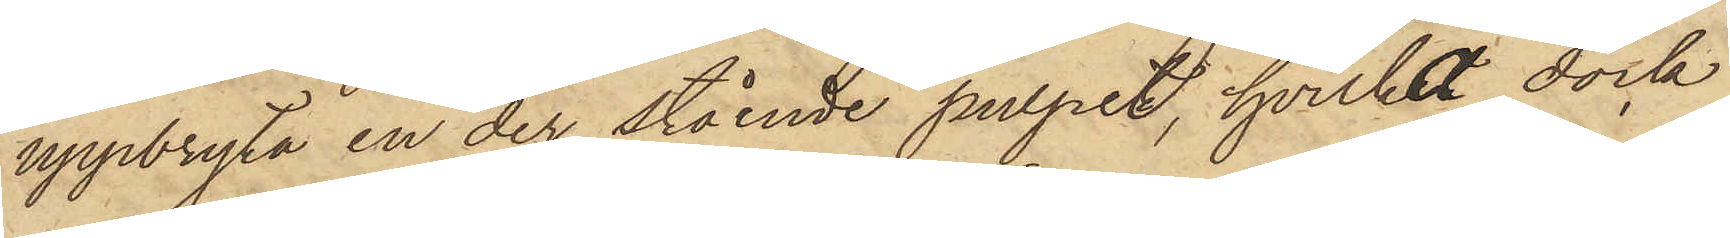uppbryta en der stående pulpet, hvilket dock
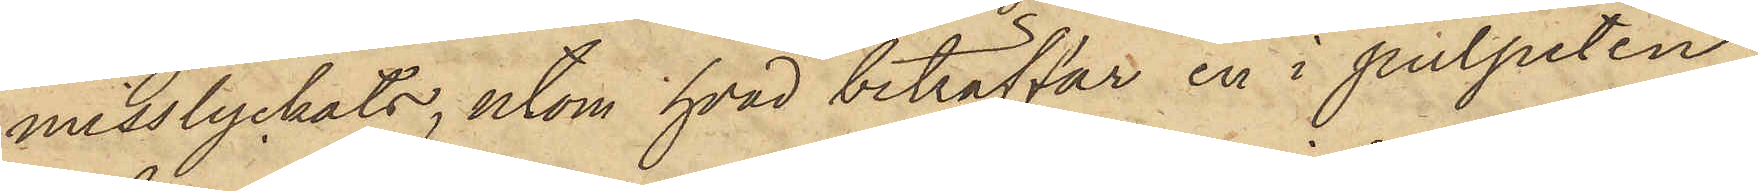misslyckats, utom hvad beträffar en i pulpeten
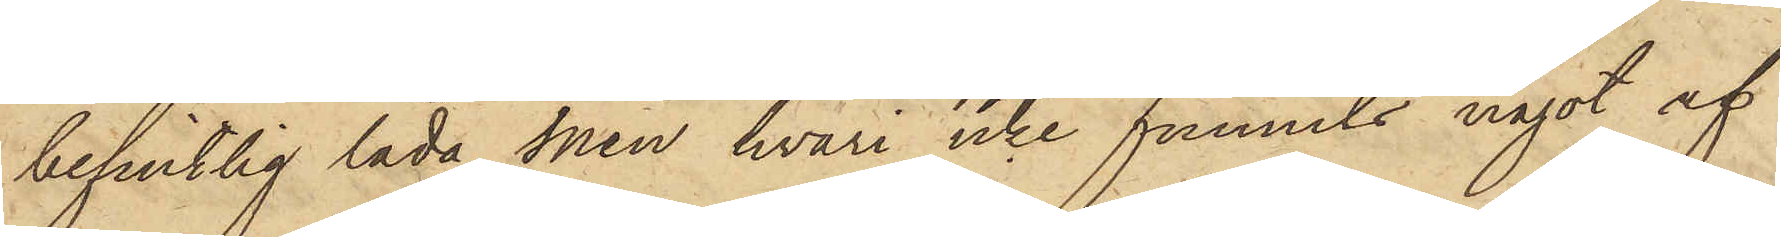befintlig låda men hvari icke funnits något af
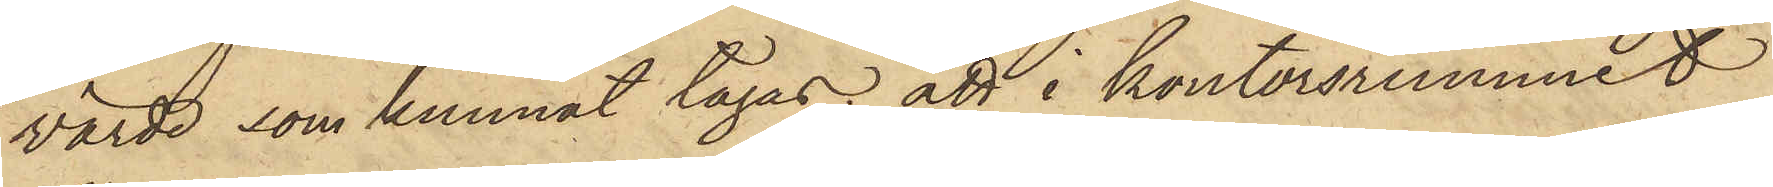värde som kunnat tagas, att i kontorsrummet
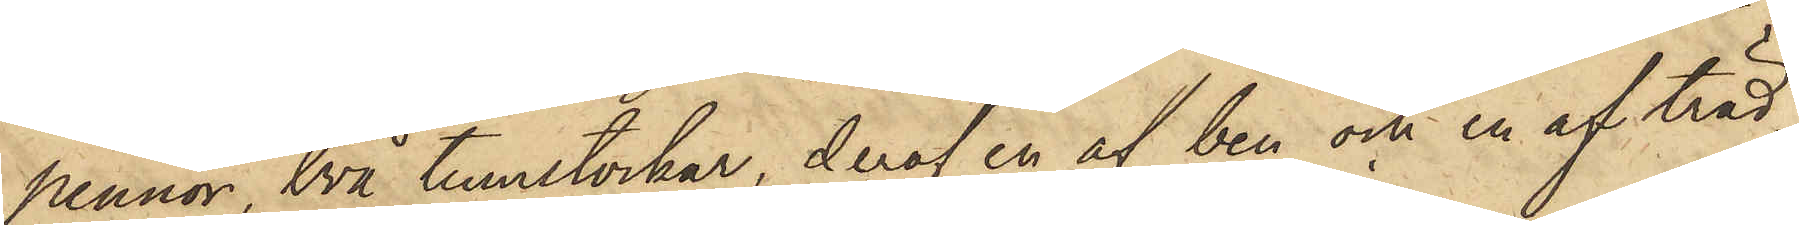pennor, två tumstockar, deraf en af ben och en af träd,
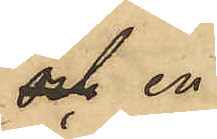och en
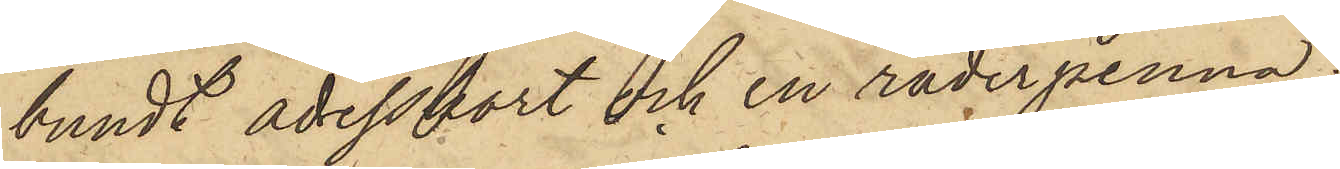bundt adresskort och en raderpenna;
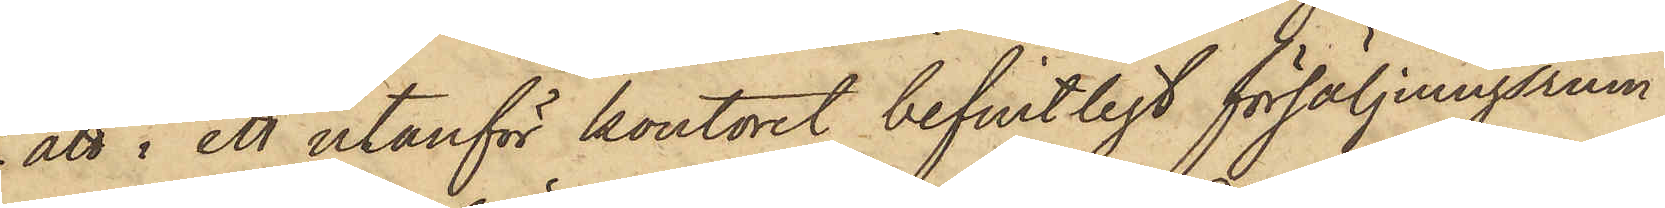att i ett utanför kontoret befintligt försäljningsrum
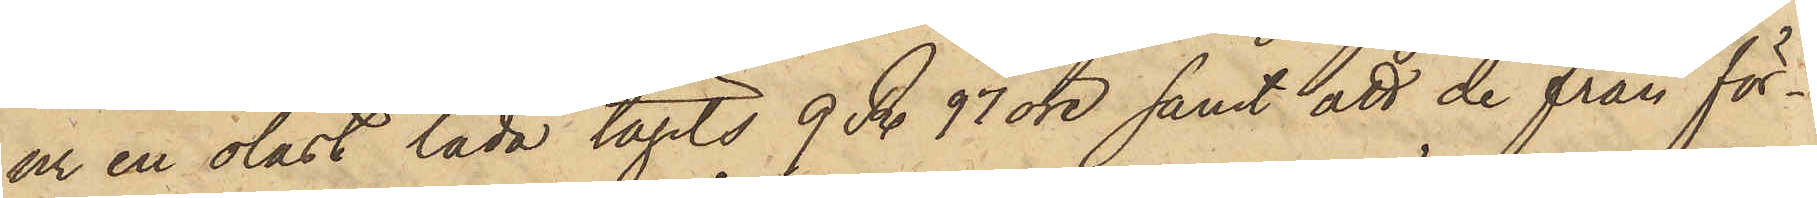ur en olåst låda tagits 9 R. 97 öre samt att de från för¬
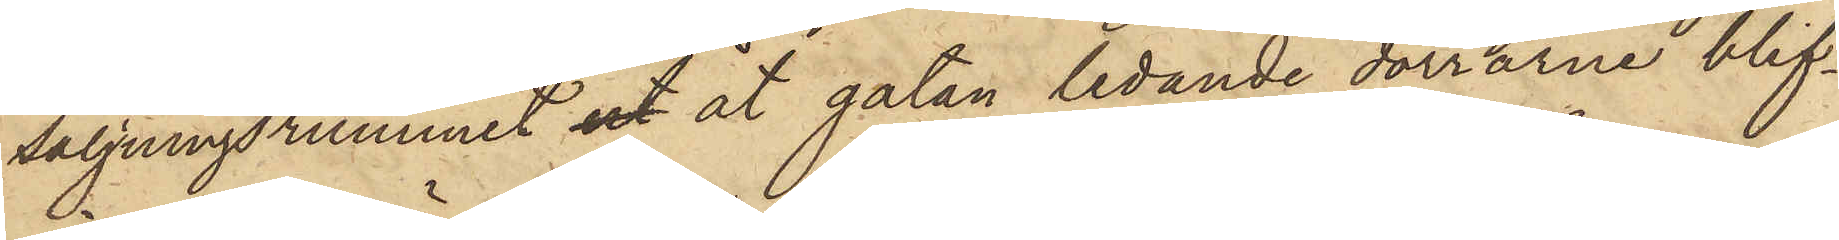säljningsrummet ut åt gatan ledande dörrarne blif¬
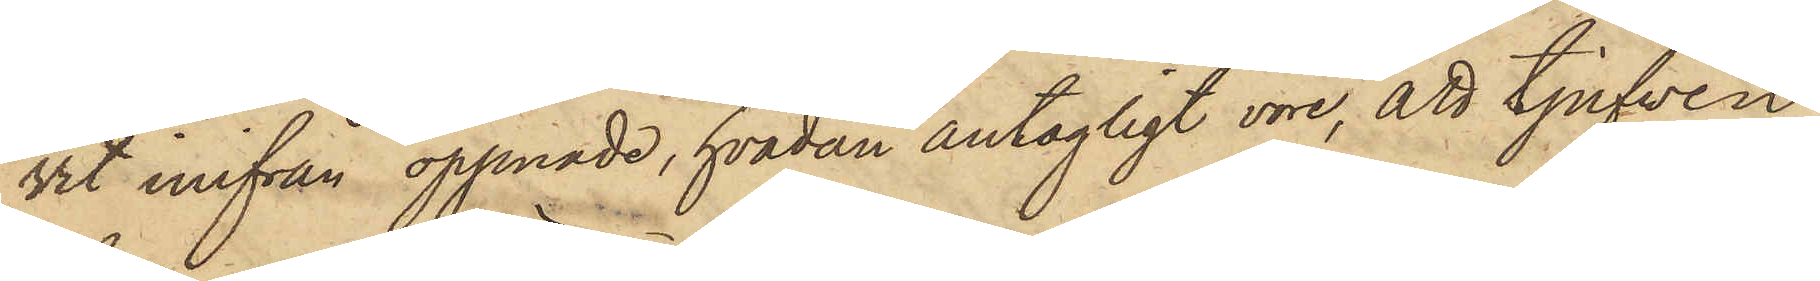vit inifrån öppnade, hvadan antagligt vore, att tjufven
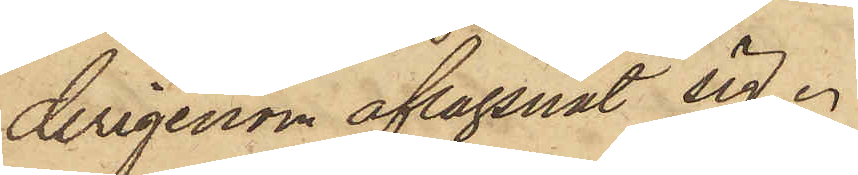derigenom aflägsnat sig.
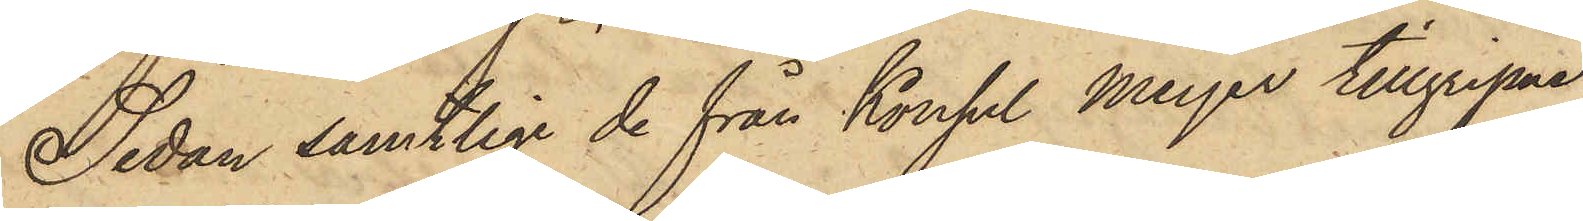Sedan samtliga de från Konsul Meyer tillgripne
